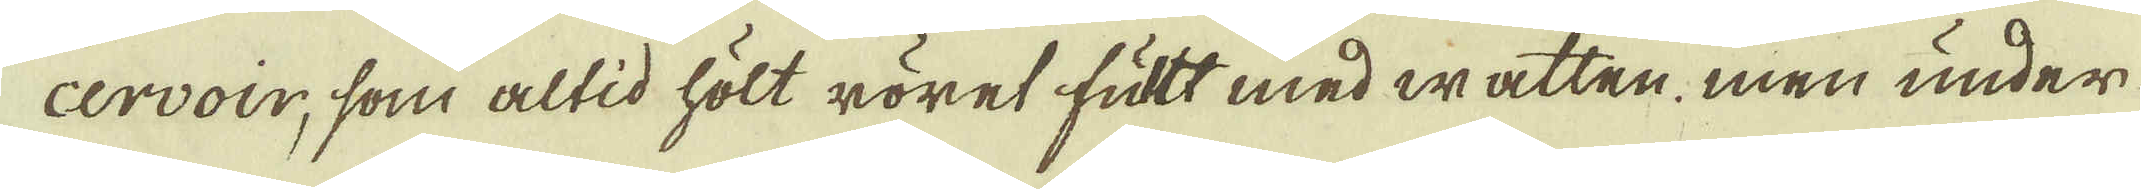cervoir, som altid hölt röret futt med watten. men under
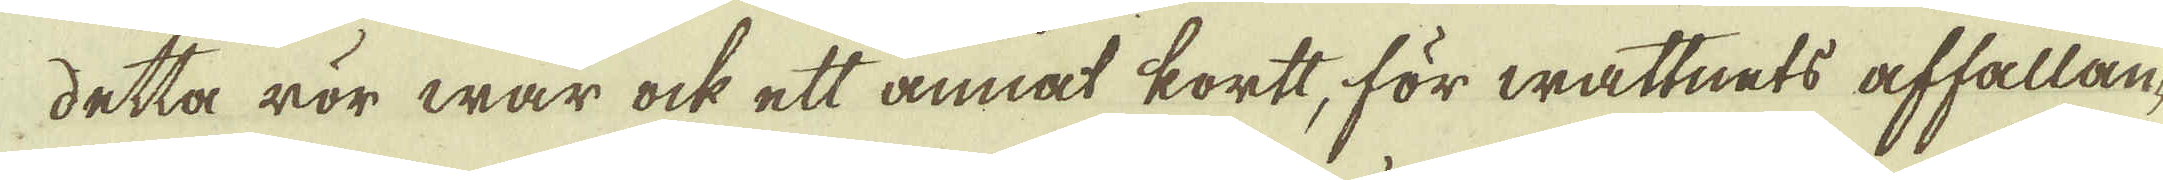detta rör war ock ett annat kortt, för wattnets affallan-
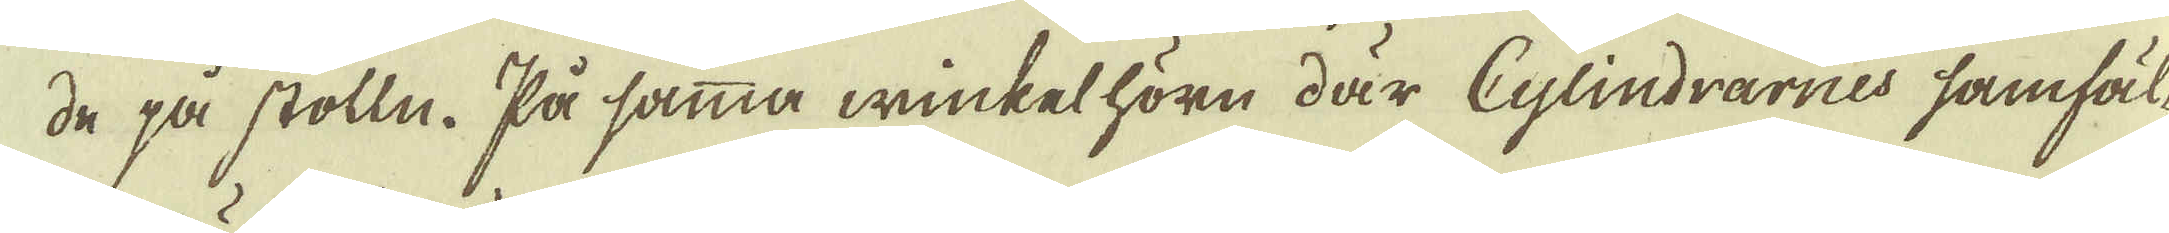de på stolln. På samma winket hörn där Cylindrarnes samfäl-
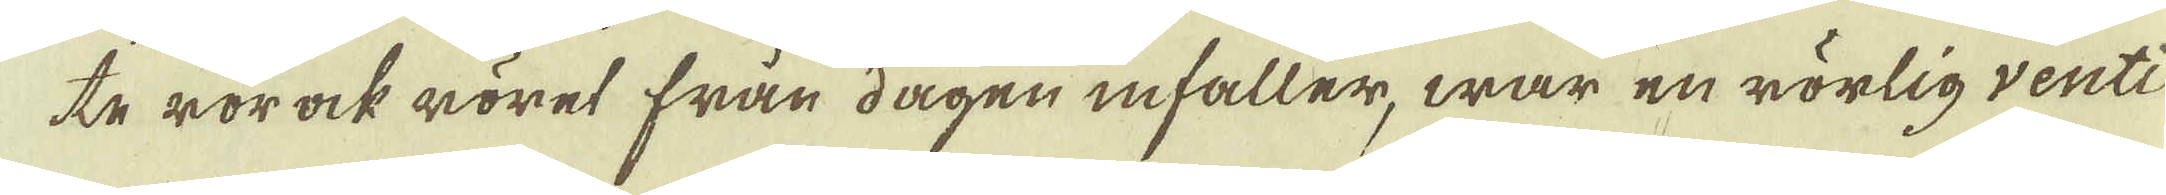te rör ock röret från dagen infaller, war en rörlig venti-
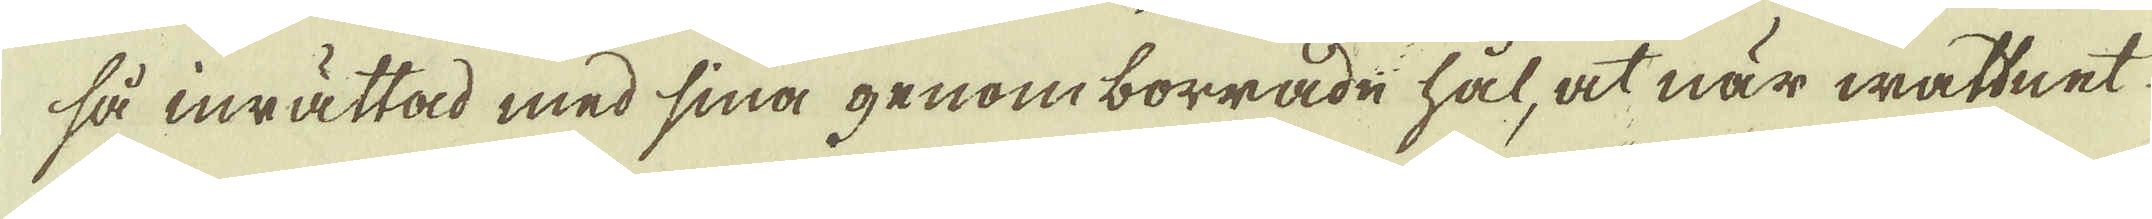så inrättad med sina genom borrade hål, at när wattnet
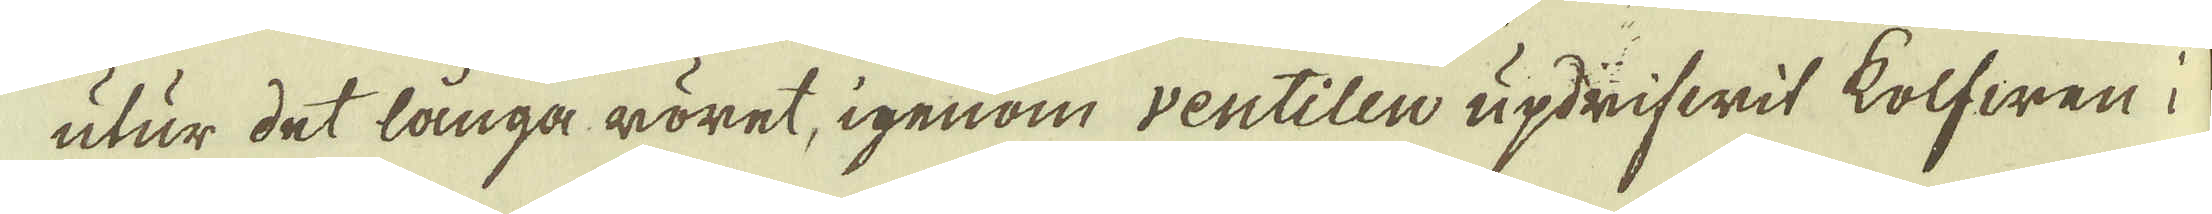utur det långa röret, igenom ventilen updrifwit kolfwen i
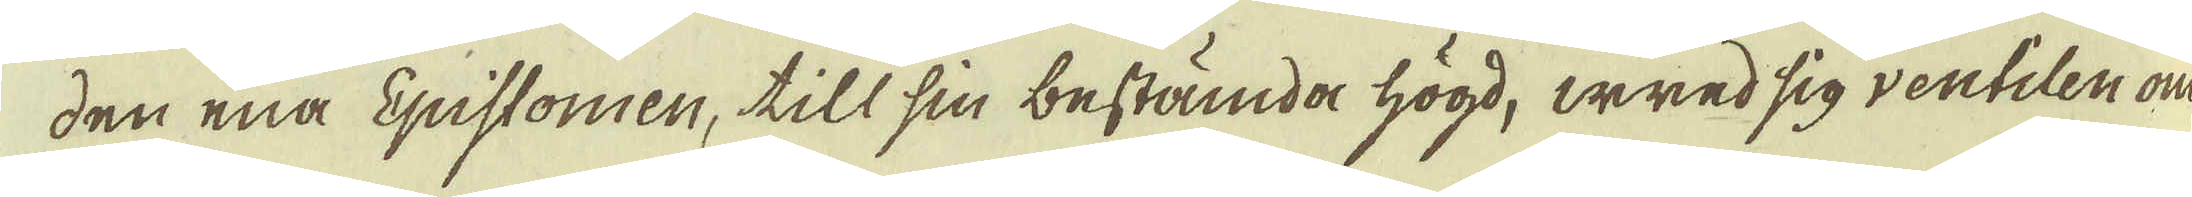den ena Epistomen, till sin bestämda högd, wred sig ventilen om
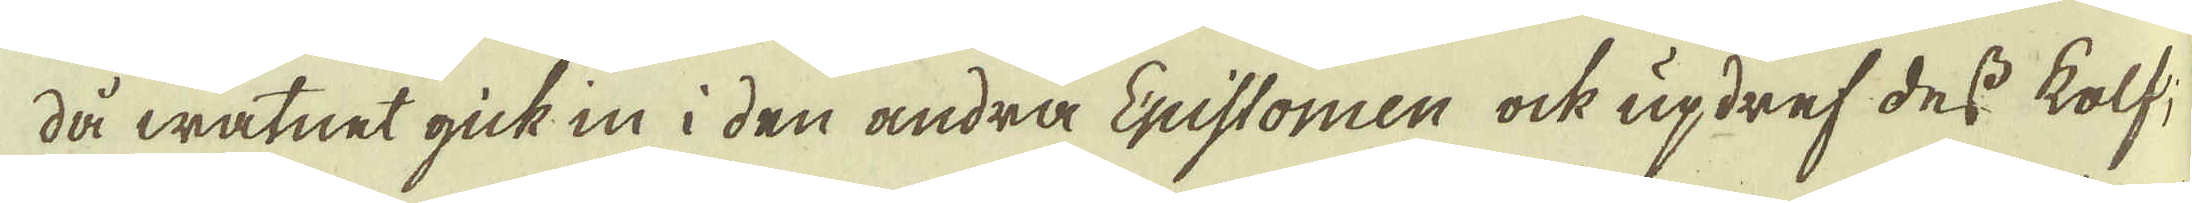då watnet gick in i den andra Epistomen ock updref dess kolf
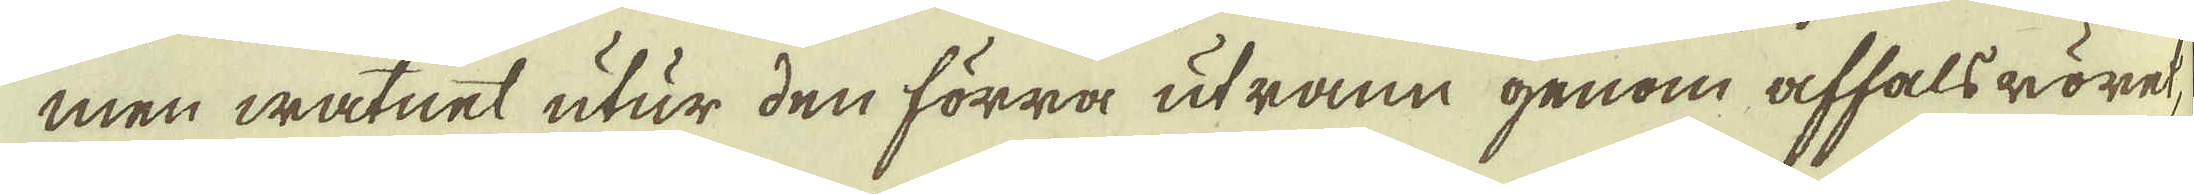men watnet utur den förra utrann genom affalsröret
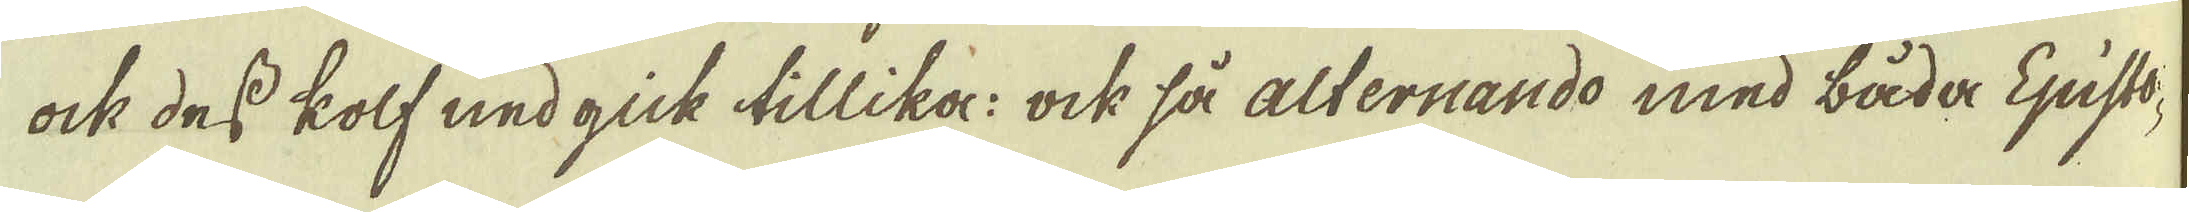ock des kolf nedgick tillika: ock så alternando med båda Episto
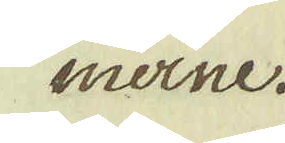merne.
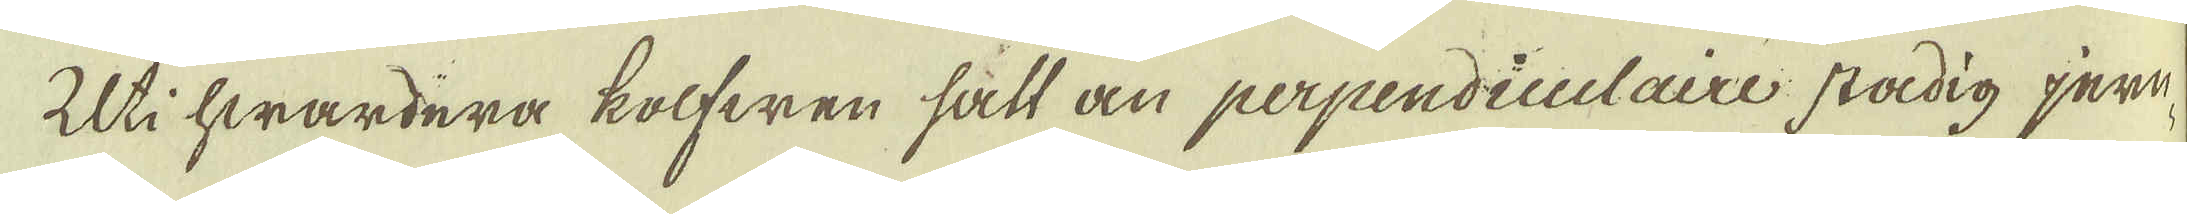Uti hwardera kolfwen sätt än perpendiculaire stadig jern-
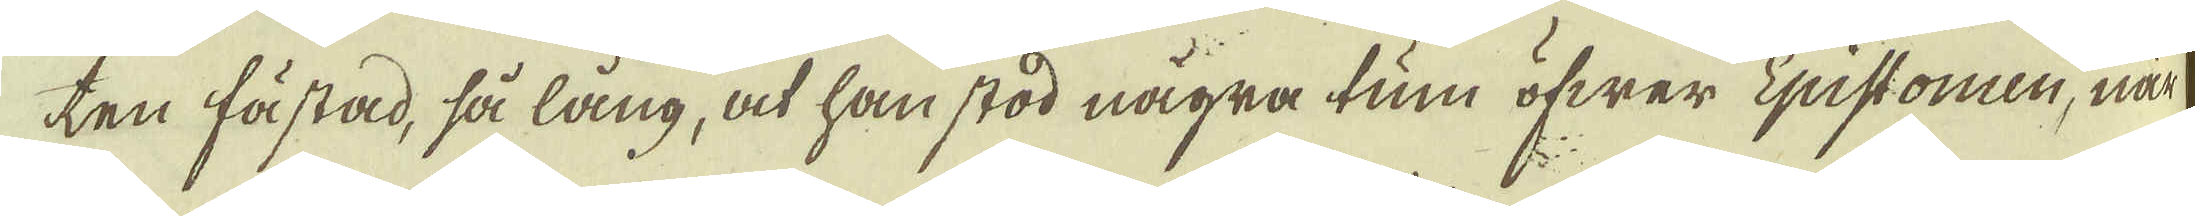ten fästad, så lång, at han stod några tum öfwer Epistomen, när
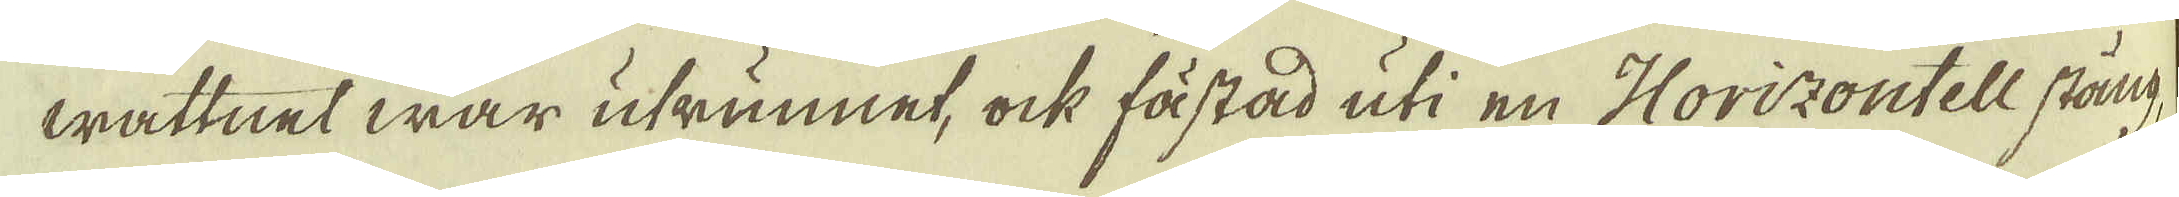wattnet war utrunnet, ock fästad uti en Horizontell stång
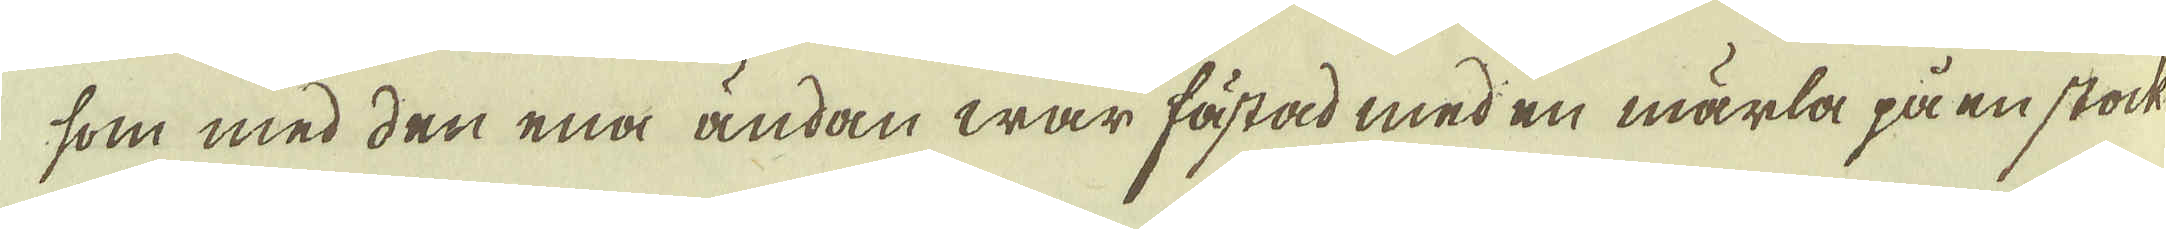som med den ena ändan war fästad med en märla på en stock
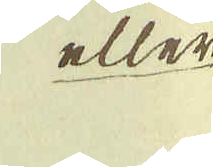eller
